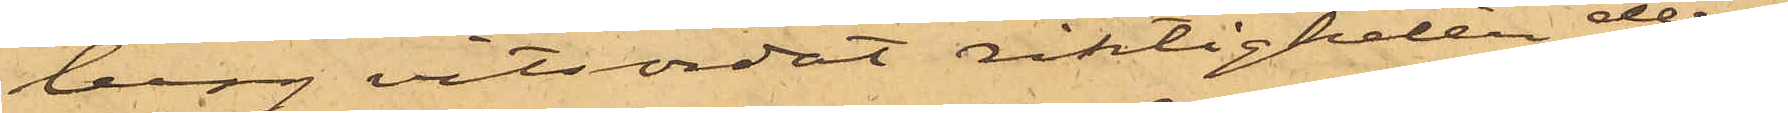berg vitsordat riktigheten deraf
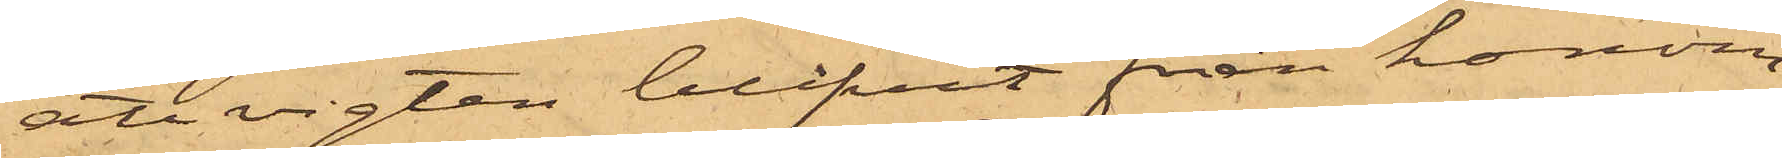att vigten blifvit från honom
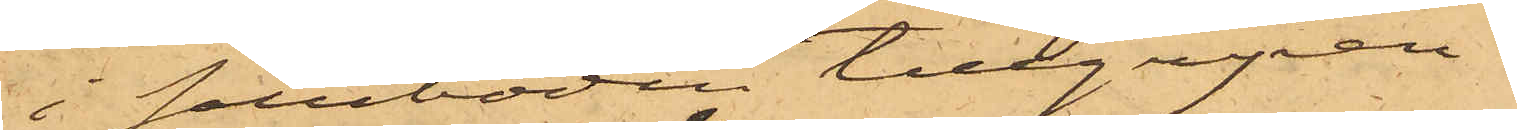i saluboden tillgripen.
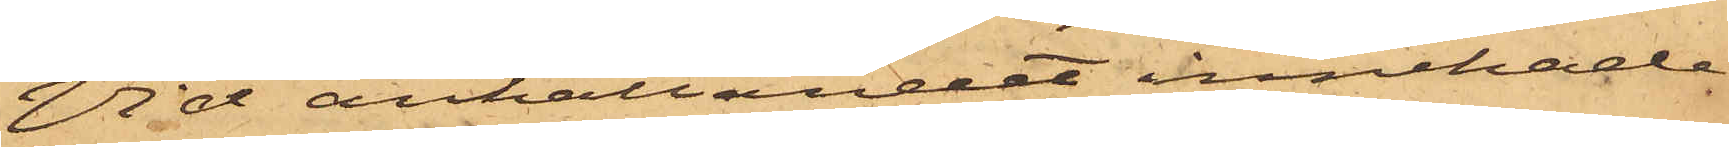Vid anhållandet innehade
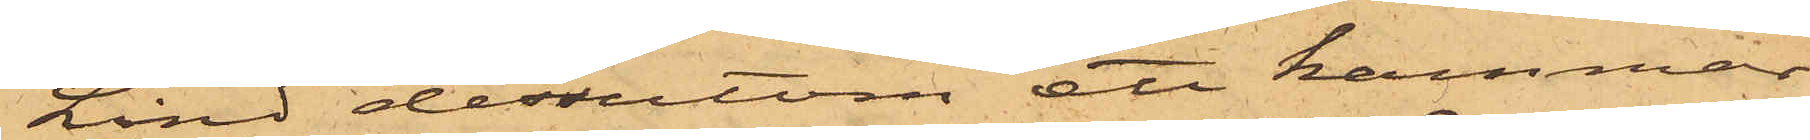Lind dessutom ett kammar¬
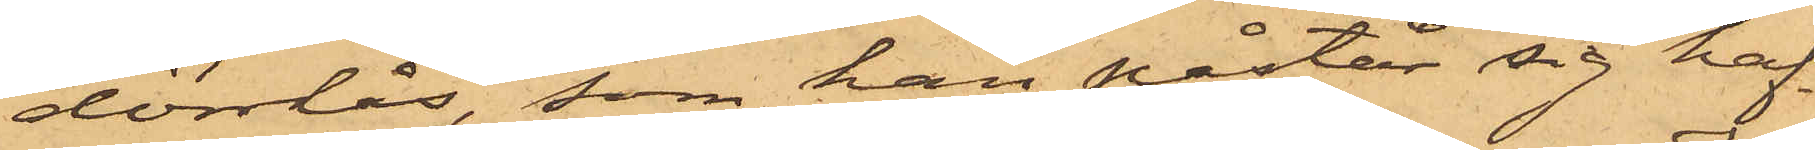dörrlås, som han påstår sig haf¬
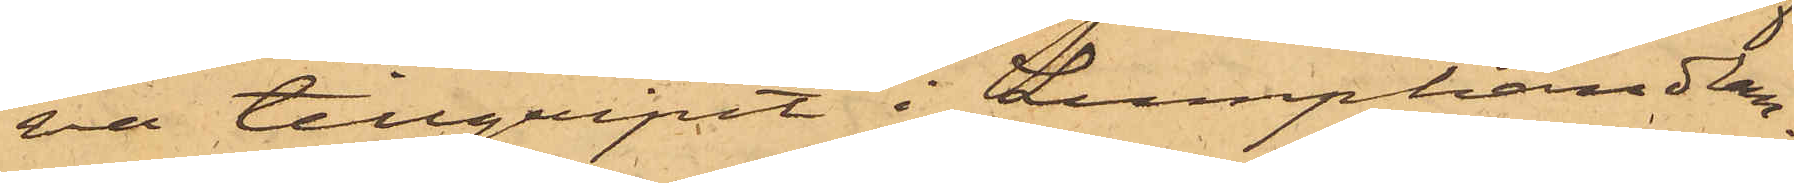va tillgripit i Lumphandlan¬
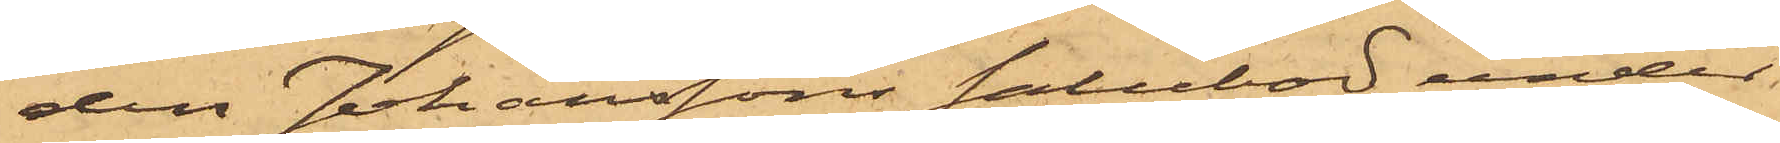den Johanssons salubod, under
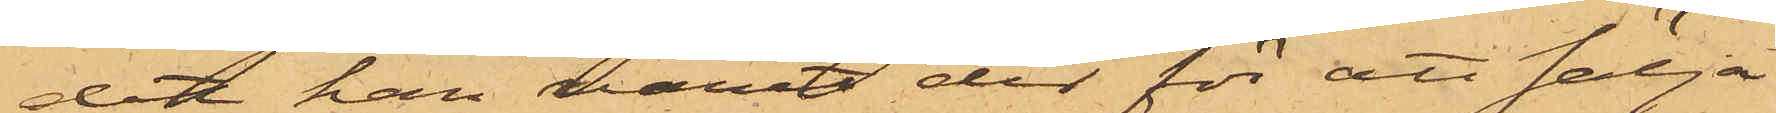det han varit der för att sälja
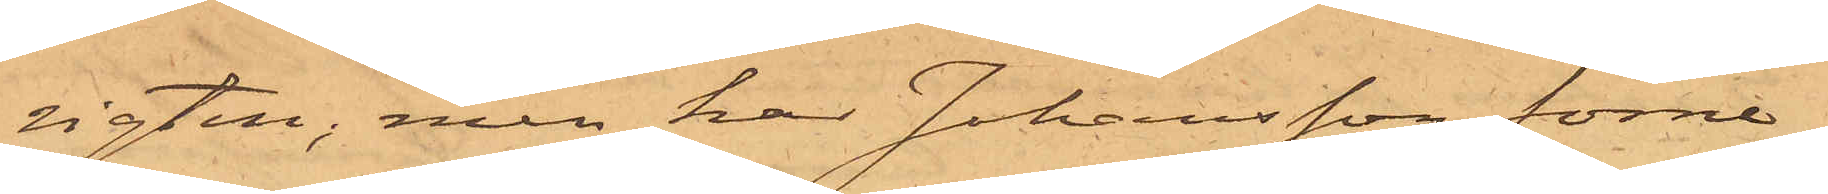vigten; men har Johansson förne¬
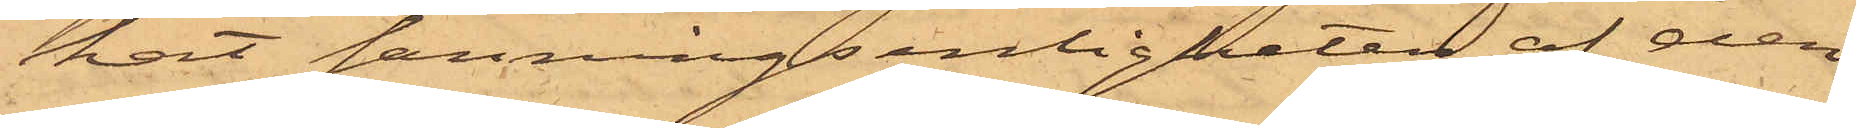kat sanningsenligheten af den¬
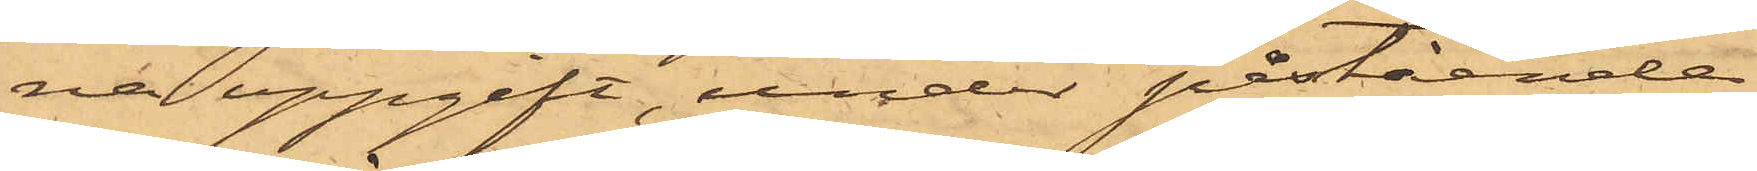na uppgift, under påstående
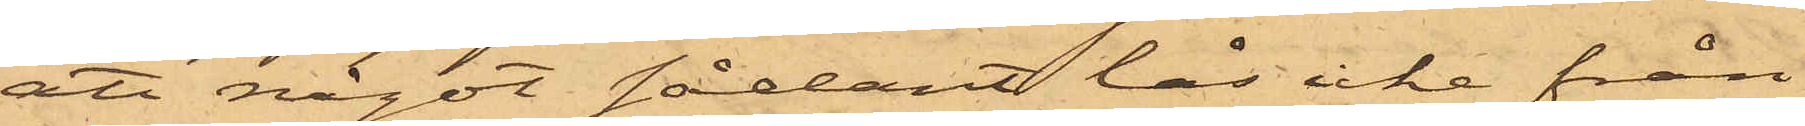att något sådant lås icke från
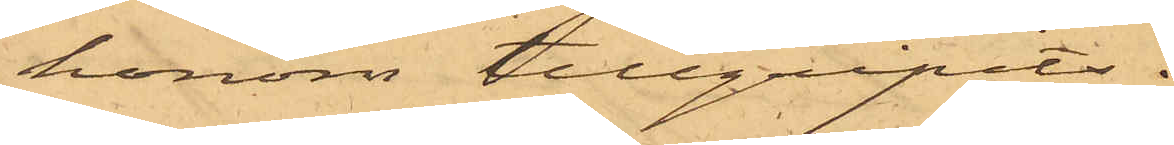honom tillgripits.
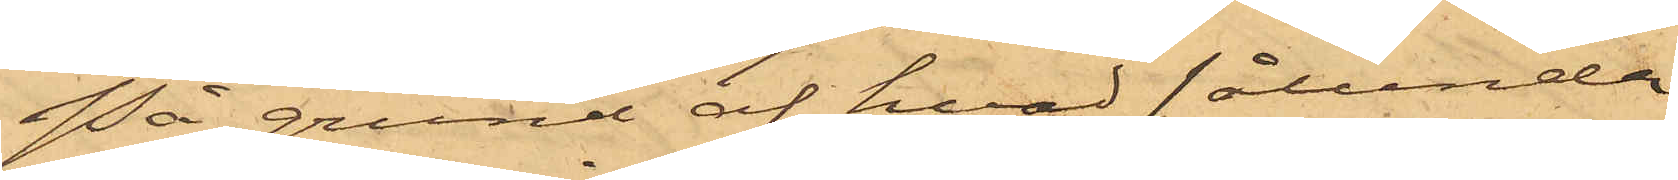På grund af hvad sålunda
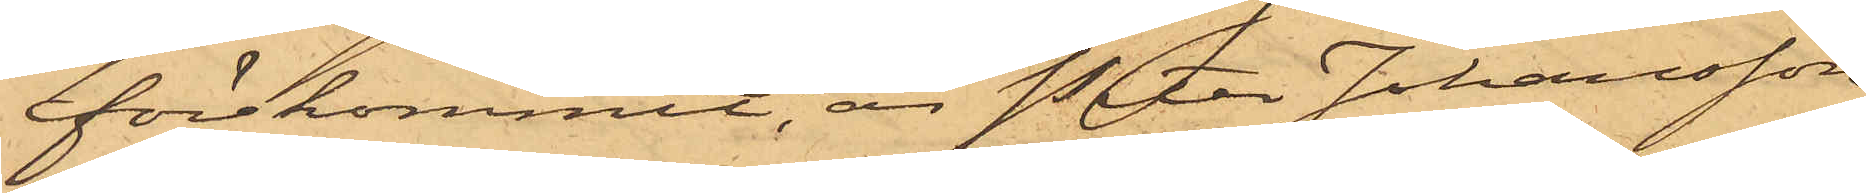förekommit, är Peter Johansson
